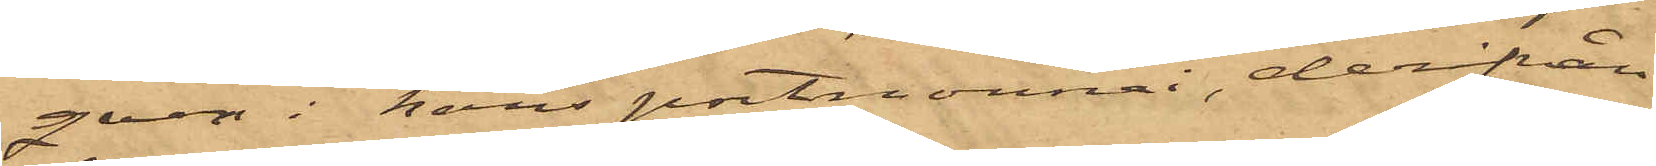qvar i hans portmonnai, derifrån
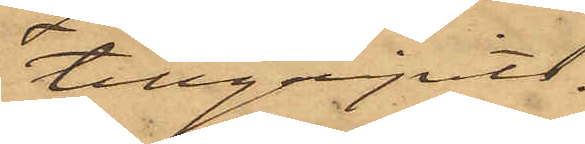tillgripits.
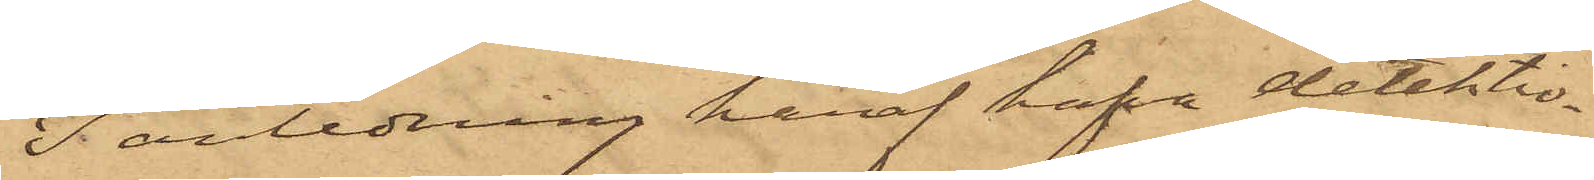I anledning häraf hafva detektiv¬
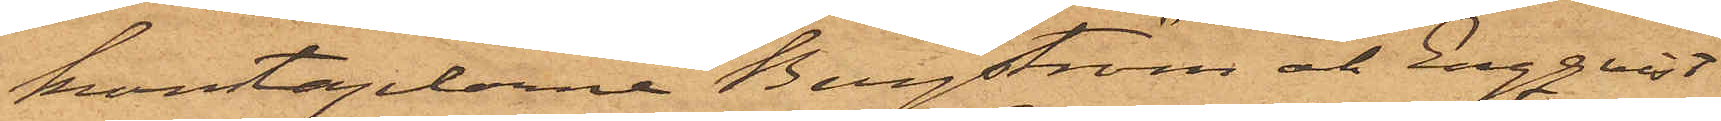konstaplarne Bergström och Engqvist
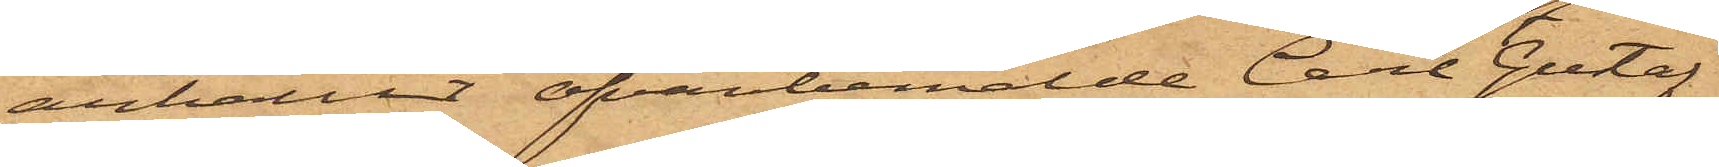anhållit ofvanbemälde Carl Gustaf
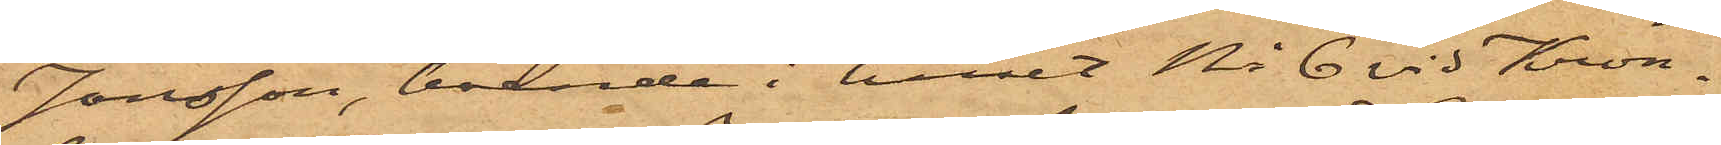Jonsson, boende i huset No 6 vid Kron¬
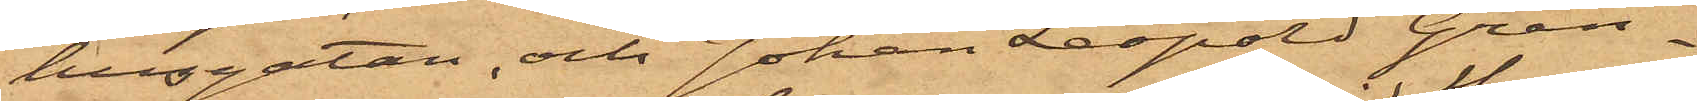husgatan, och Johan Leopold Gran¬
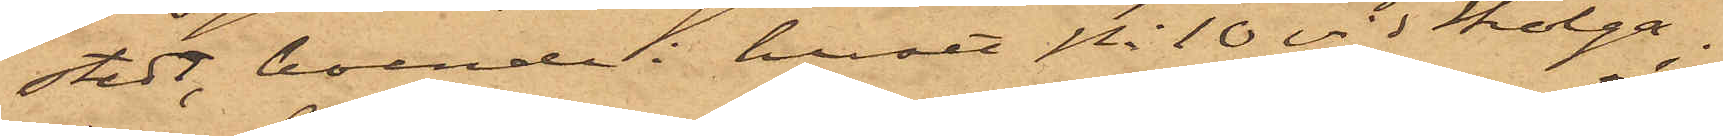stedt, boende i huset No 10 vid Skolga¬
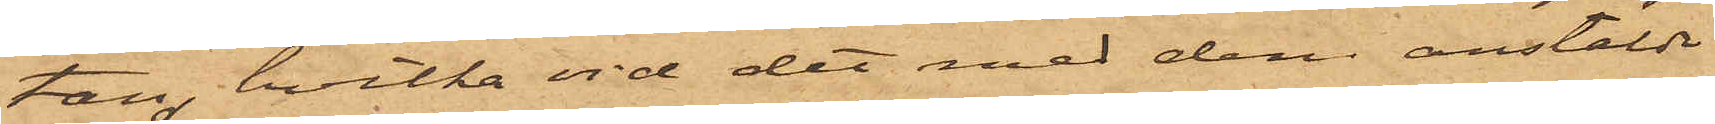tan, hvilka vid det med dem anstälde
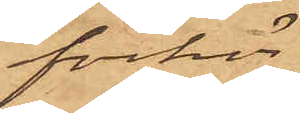förhör
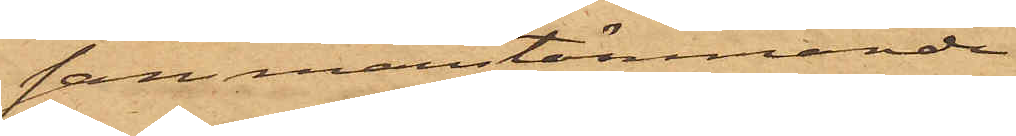sammanstämmande
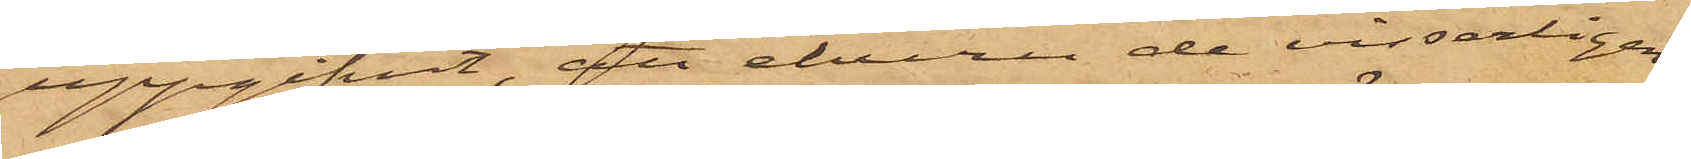uppgifvit, att ehuru de visserligen,
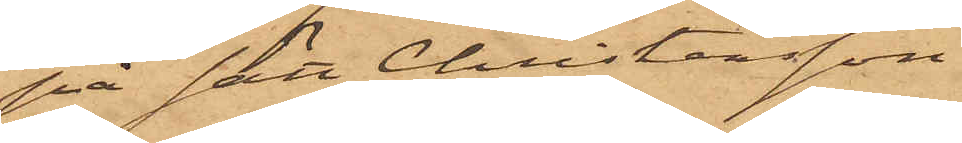på sätt Christensson
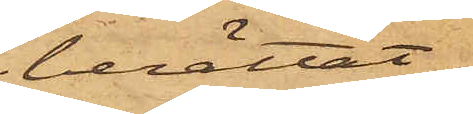berättat.
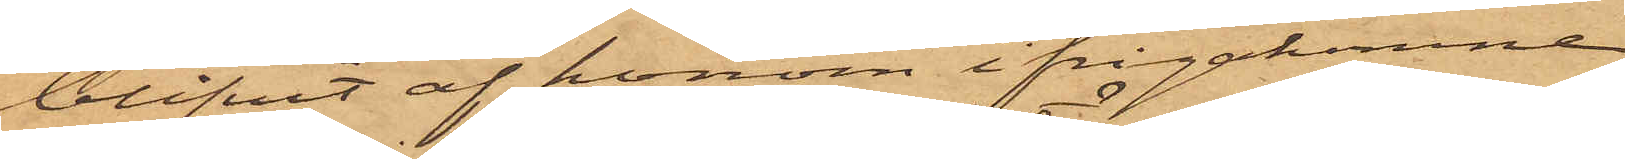blifvit af honom ifrågakomne
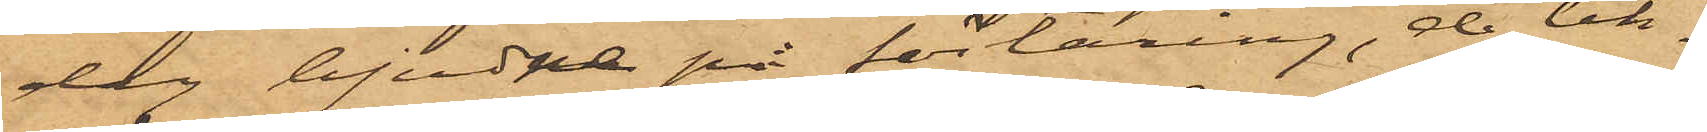dag bjudne på förtäring, de lik¬
